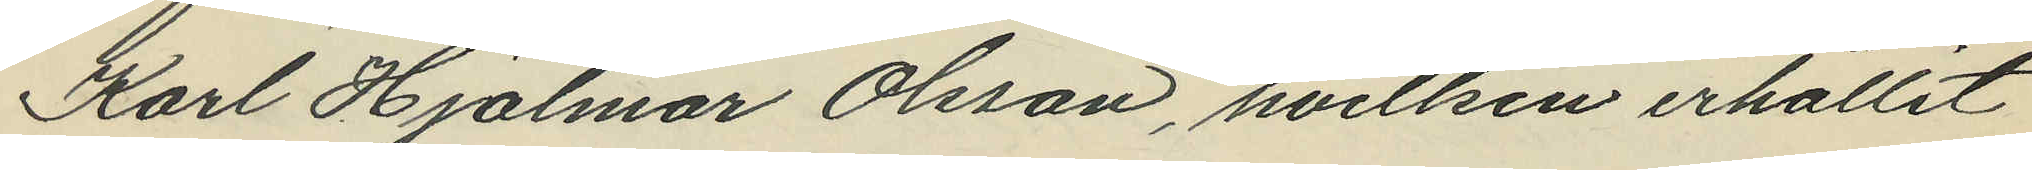Karl Hjalmar Olsson, hvilken erhållit
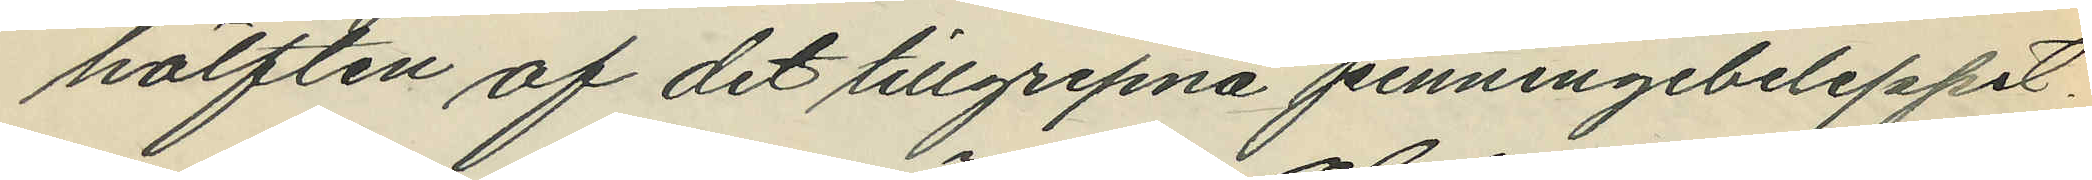hälften af det tillgripna penningebeloppet;
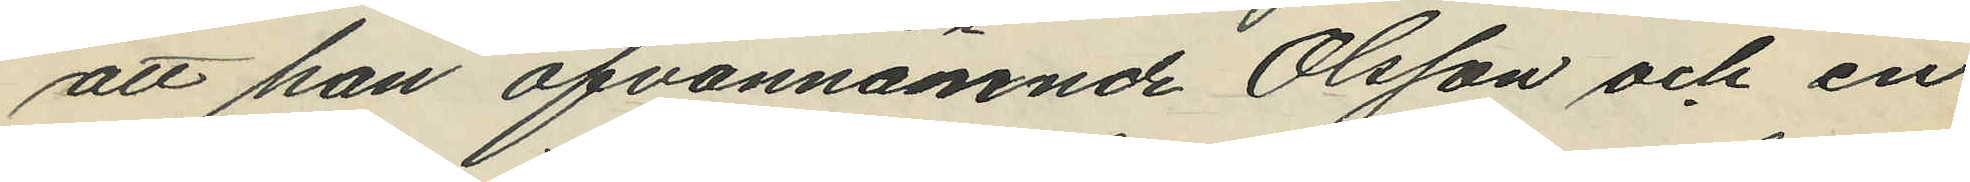att han ofvannämnde Olsson och en
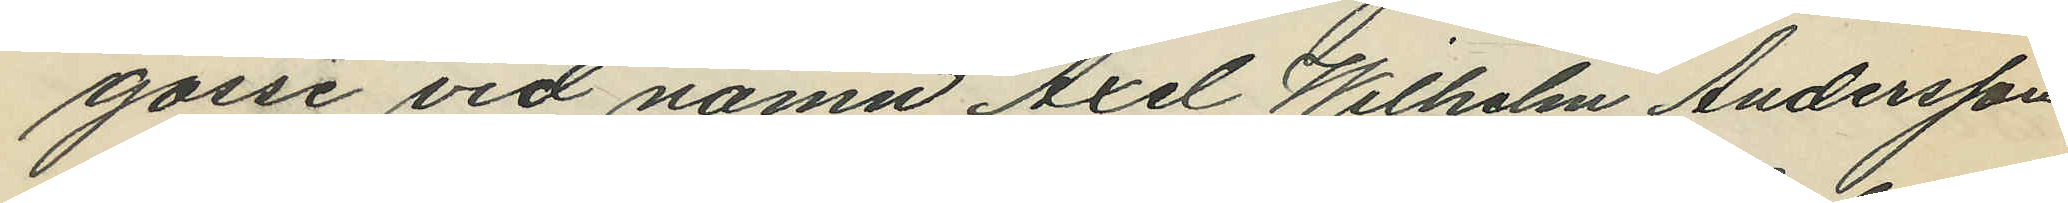gosse vid namn Axel Wilhelm Andersson
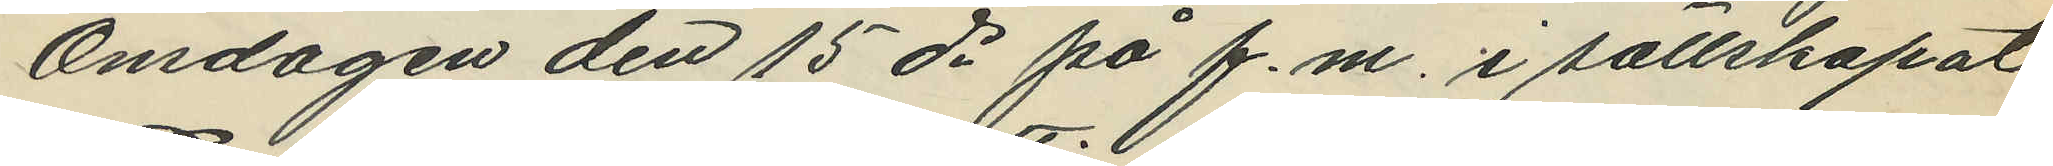Onsdagen den 15 ds på f.m. i sällskapat
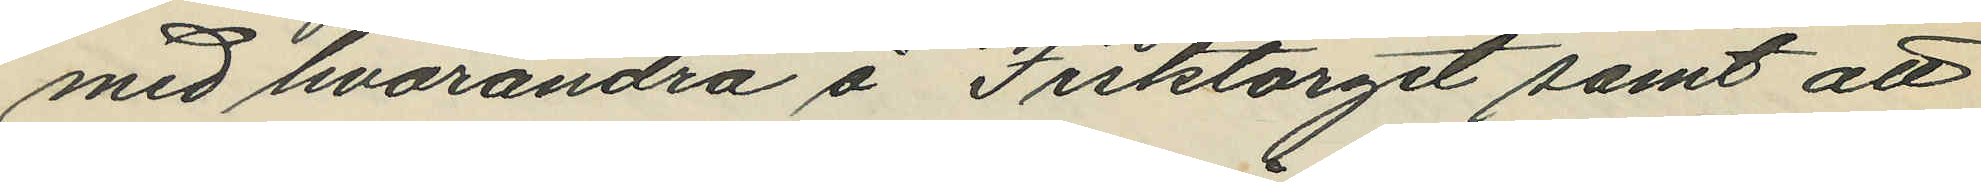med hvarandra å Fisktorget samt att
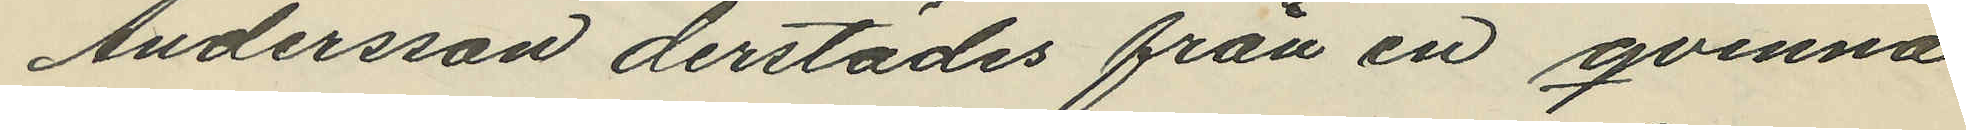Andersson derstädes från en qvinna
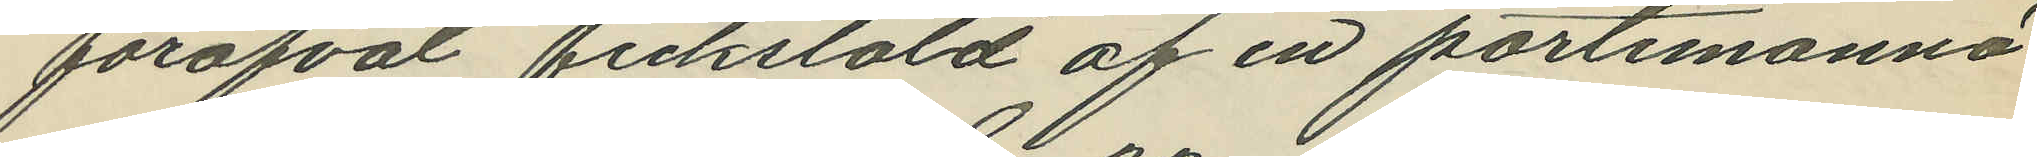föröfvat fickstöld af en portemonnä
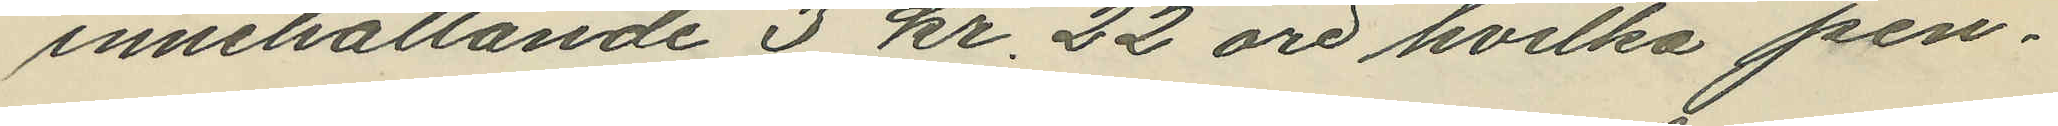innehållande 3 kr. 22 öre hvilka pen¬
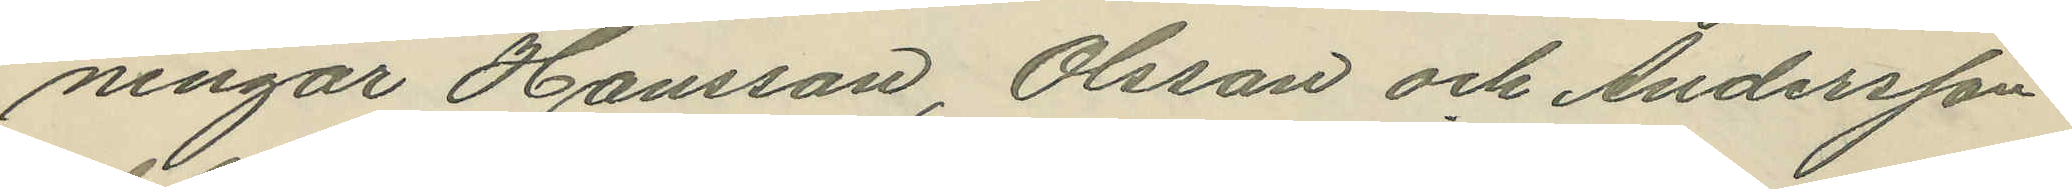ningar Hansson, Olsson och Andersson
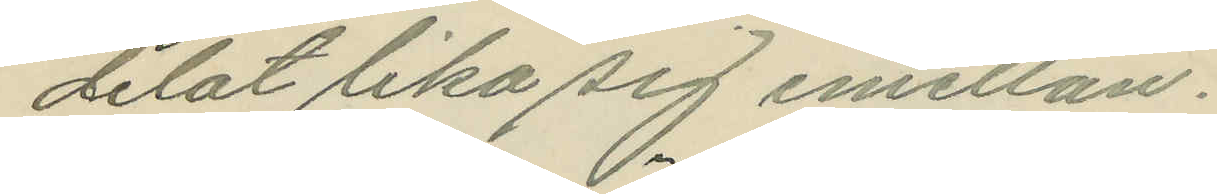delat lika sig emellan.
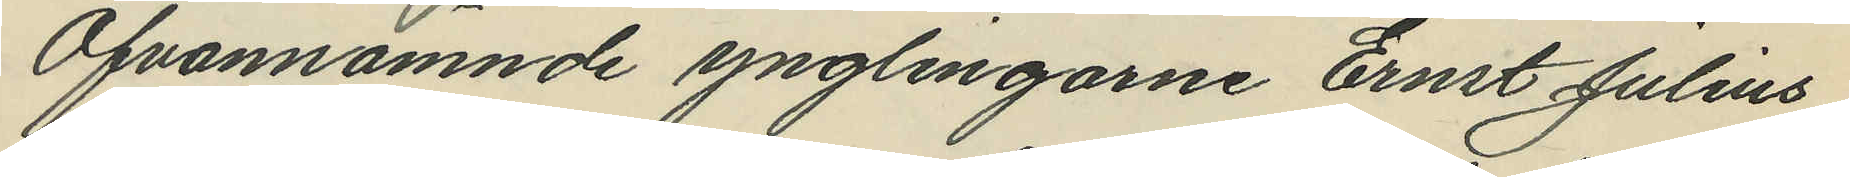Ofvannämnde ynglingarne Ernst Julius
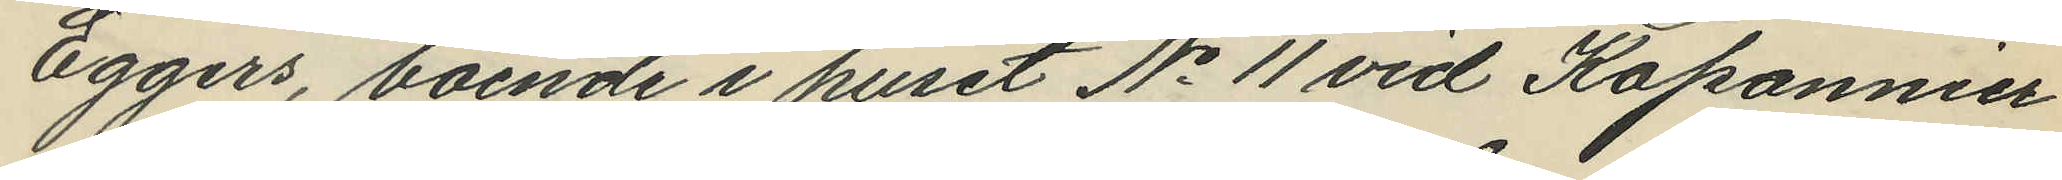Eggers, boende i huset No 11 vid Kaponnier
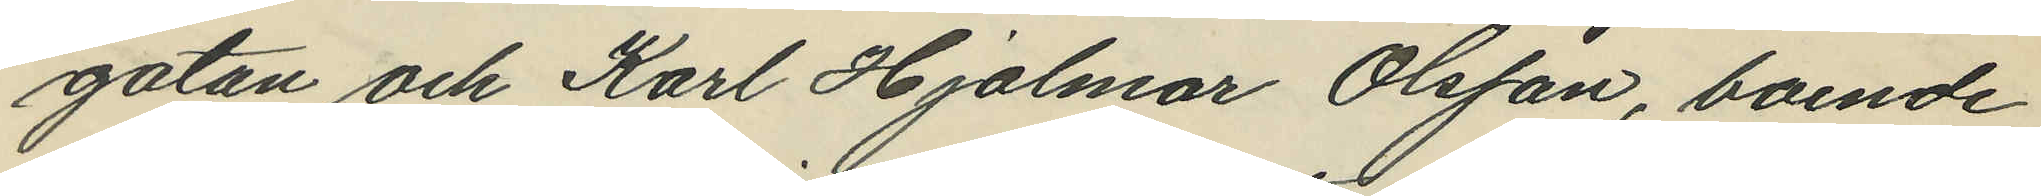gatan och Karl Hjalmar Olsson, boende
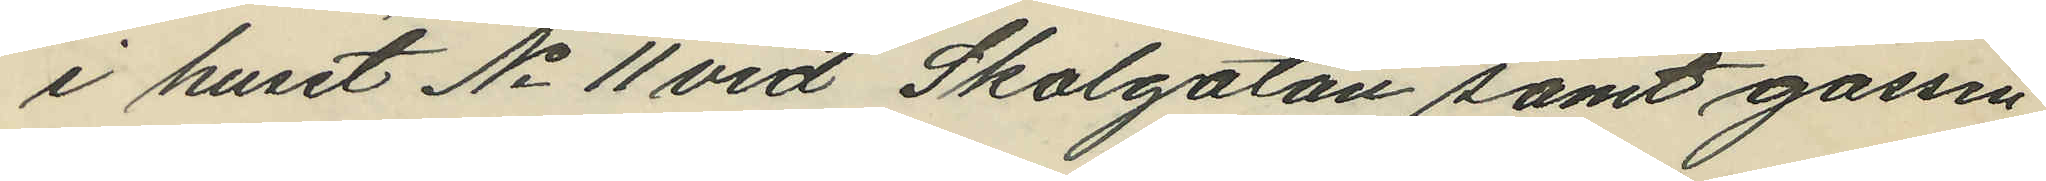i huset No 11 vid Skolgatan samt gossen
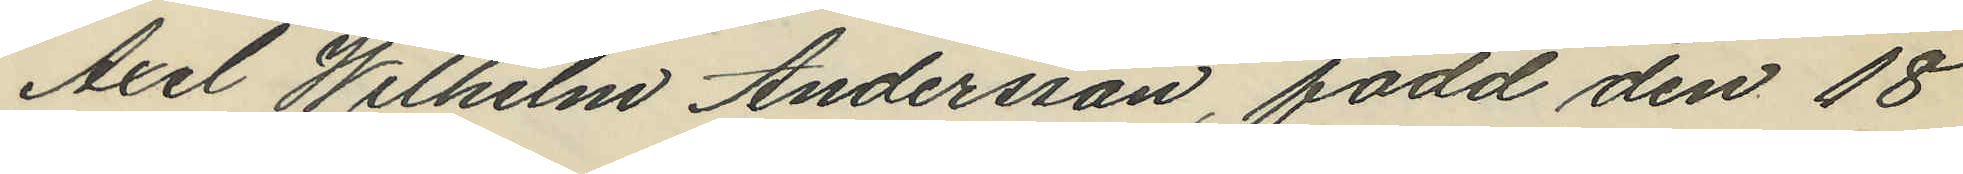Axel Wilhelm Andersson, född den 18
